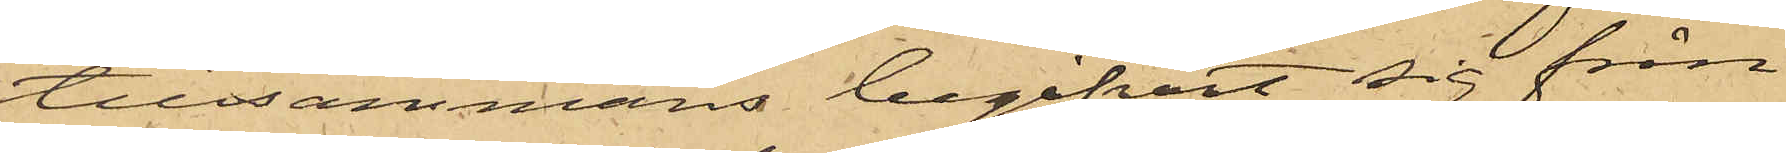tillsammans begifvit sig från
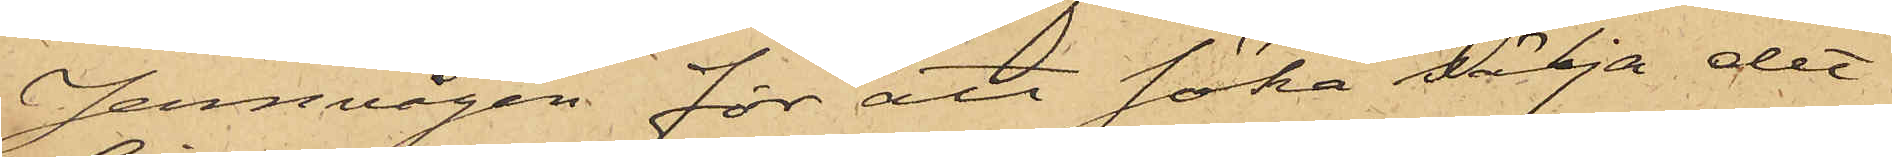Jernvågen för att söka sälja det
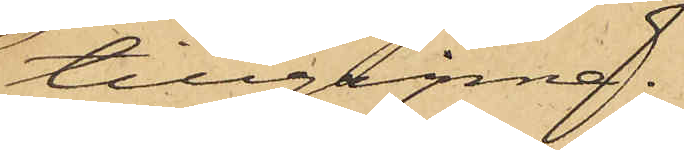tillgripne.
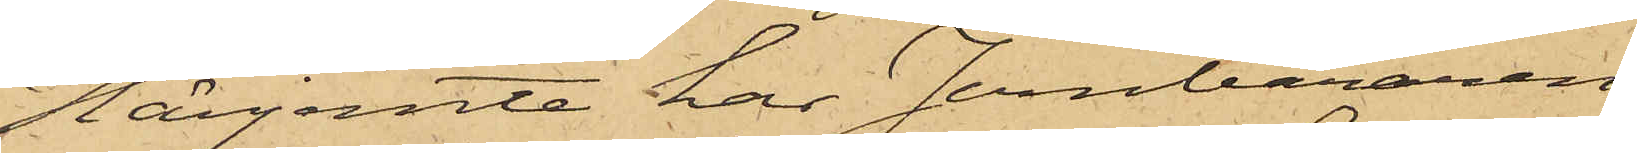Härjemte har Jernbäraren
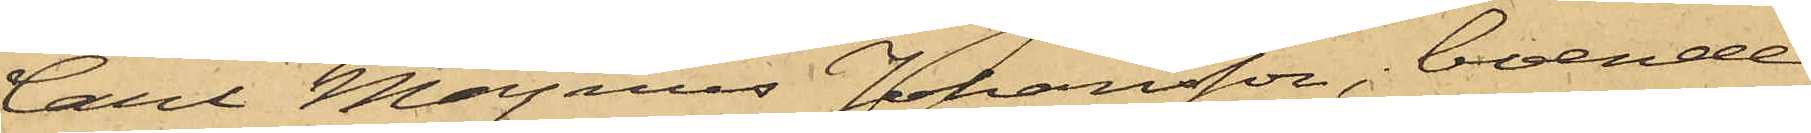Carl Magnus Johansson, boende
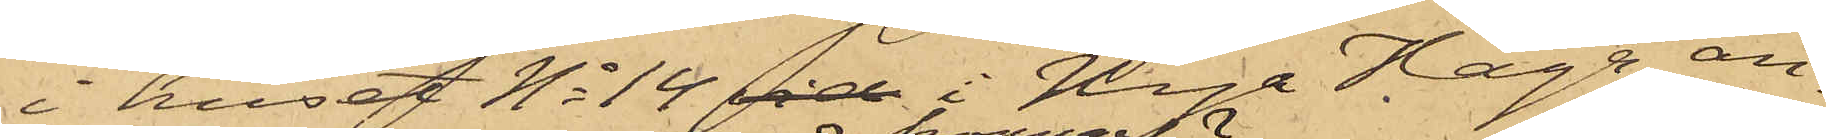i huset No 14 vid i Nya Haga an¬
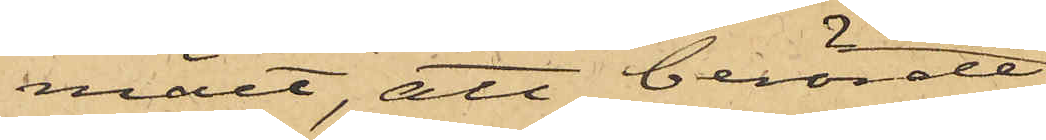mält, att berörde
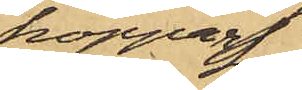koppar¬
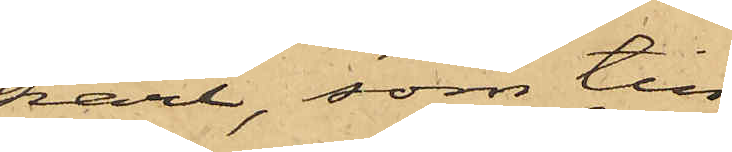kärl, som till¬
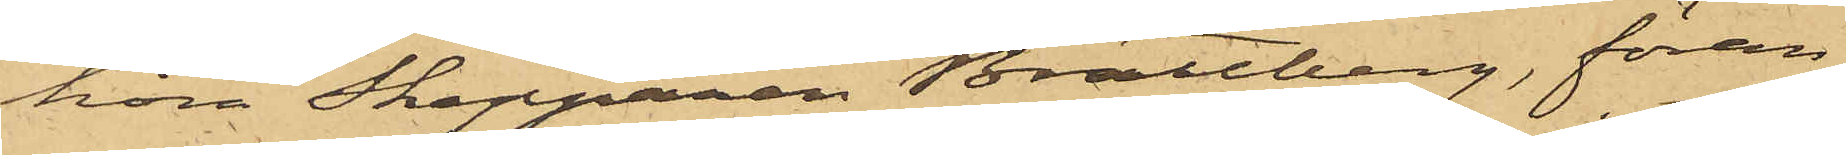höra Skepparen Brattberg, föran¬
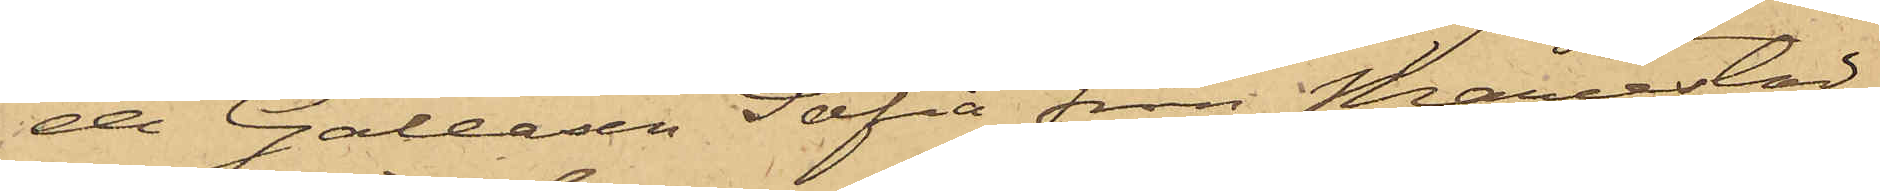de Galeasen Sofia från Mariestad,
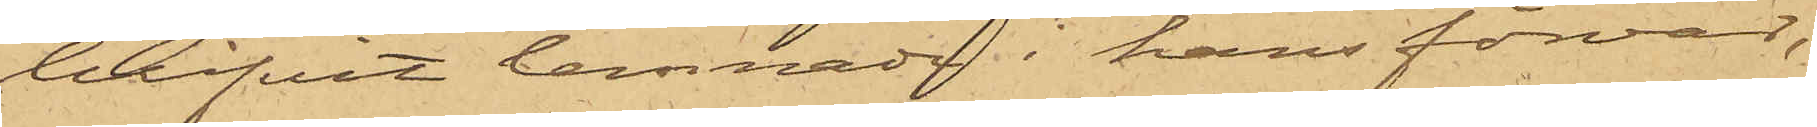blifvit lemnade i hans förvar,
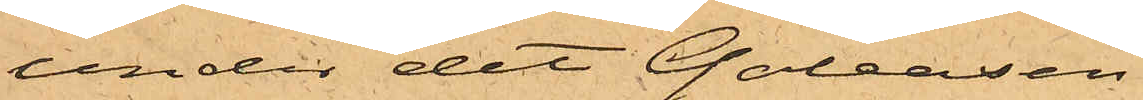under det Galeasen
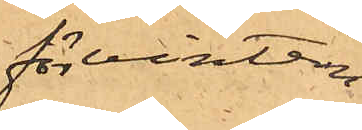för vintern
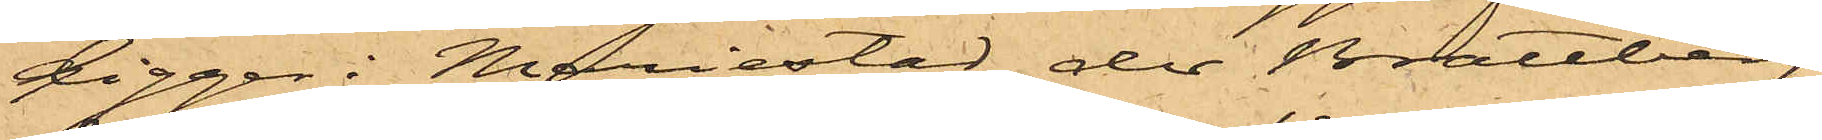ligger i Mariestad, der Brattberg
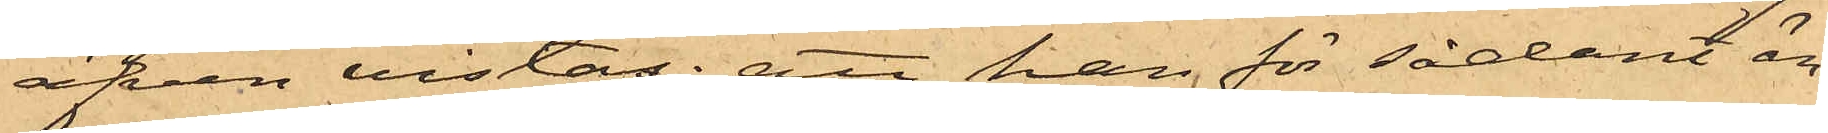äfven vistas; att han för sådant än¬
